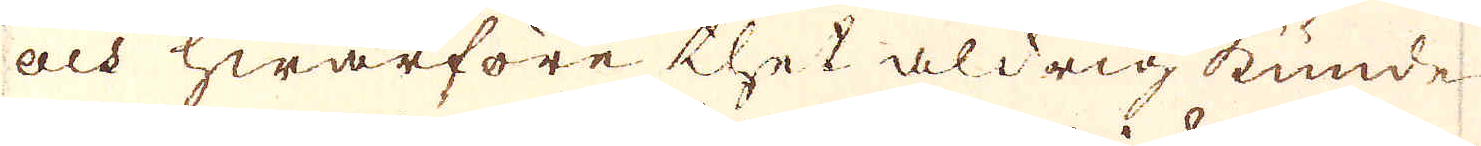och hwarföre thet aldrig kunde
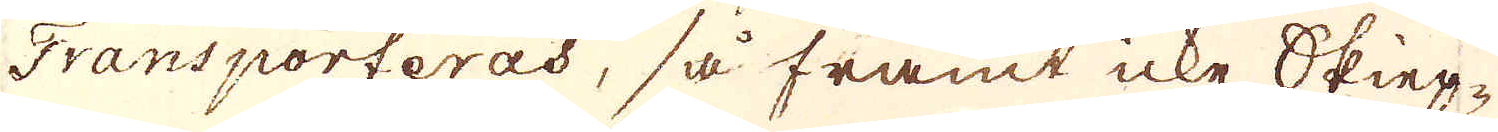Transporteras, så framt icke Skiep-
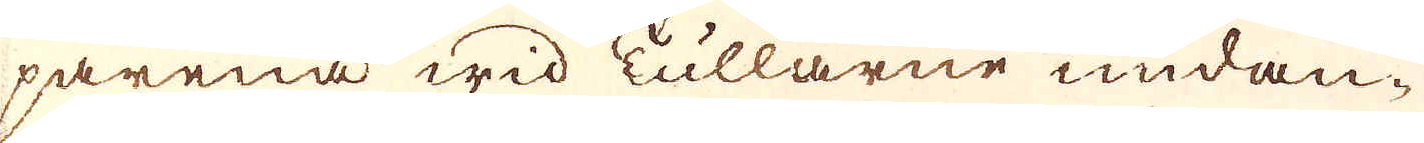parena wid Tullarne undan-
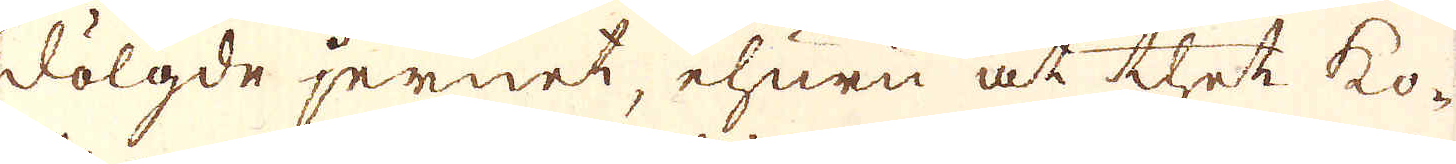dölgde jernet, ehuru at thet ko-
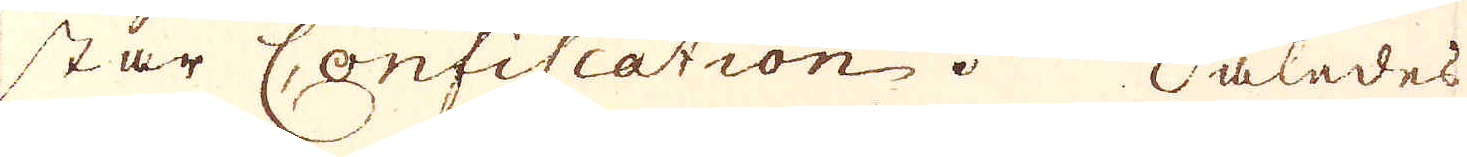star Confiscation. Således
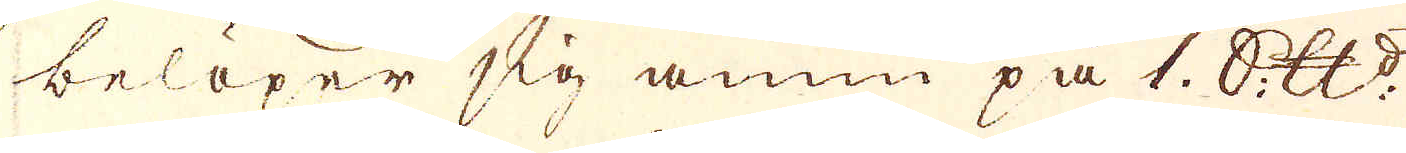belöper sig ännu på 1. Skeppund
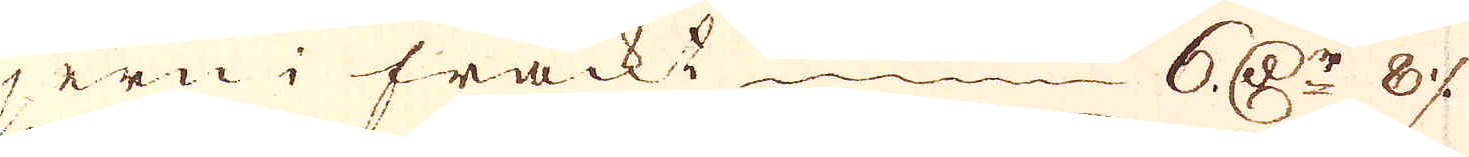jern i frackt 6 r:Dr 8 öre
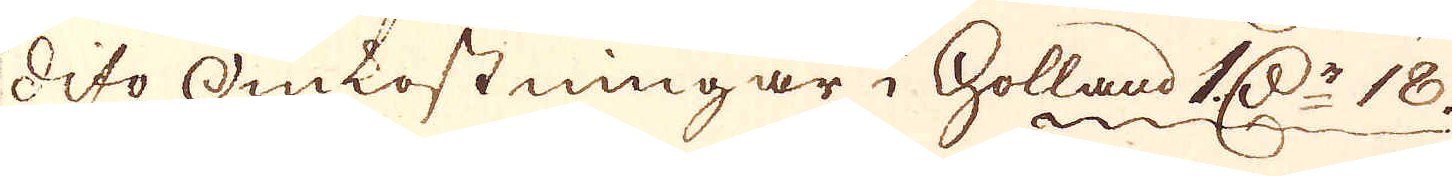dito omkostningar i Holland 2 D:r 18.
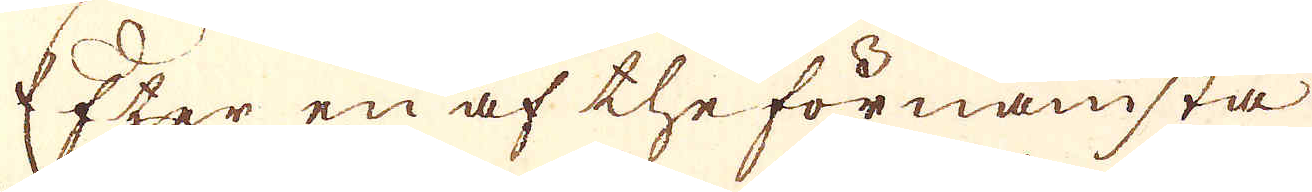Efter en af the förnämsta
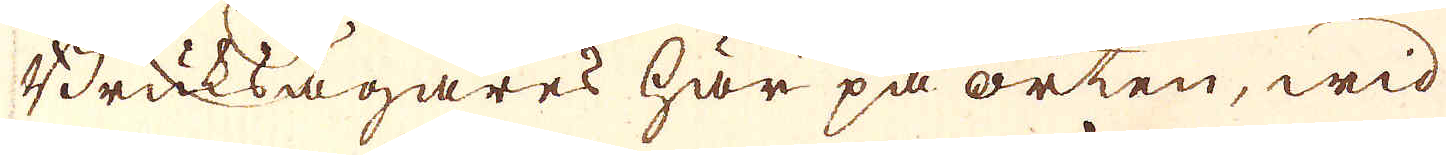Bruksägares här på orten, wid
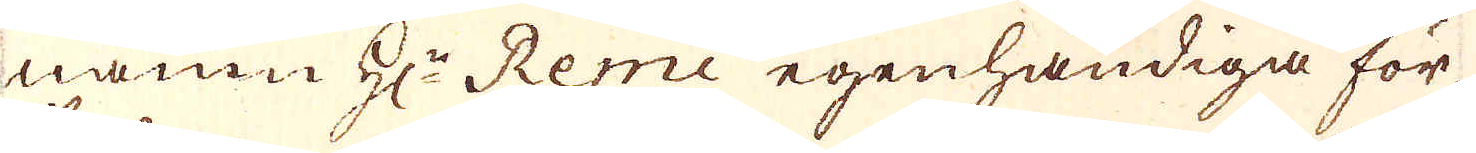namn H:r Remi egenhändiga för
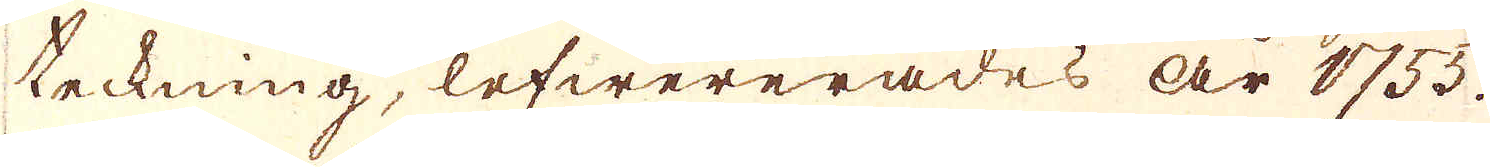teckning, lefwererades är 1755,
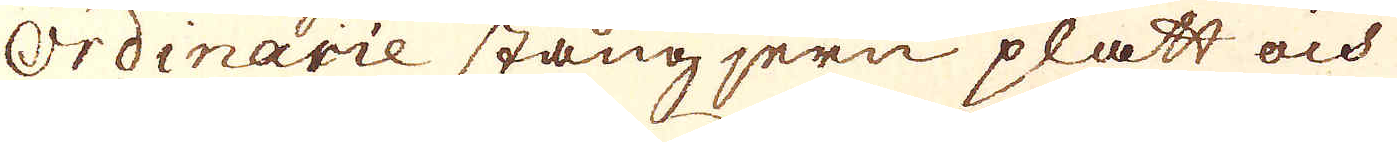Ordinarie stångjern platt och
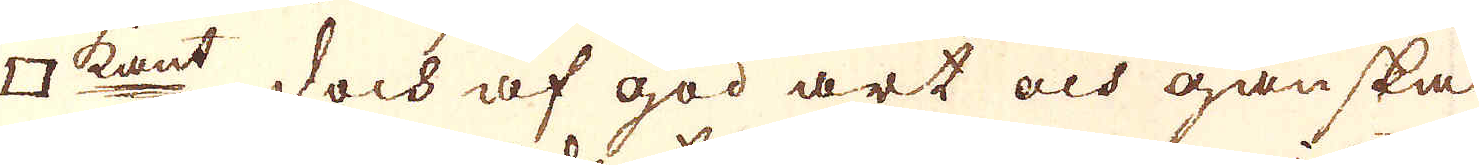□ kant, dock af god art och ganska
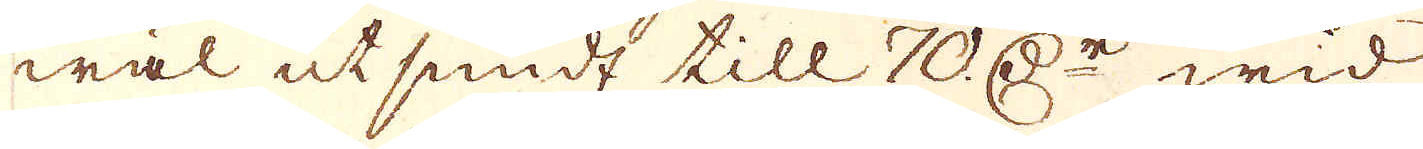wäl utsmidt till 70 D:r wid
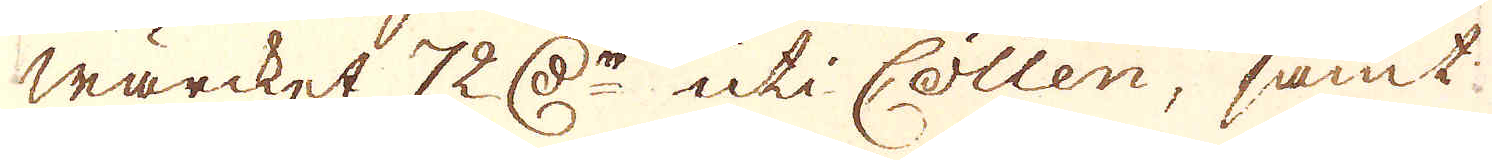wärcket 72 D:r uti Cöllen, samt.
